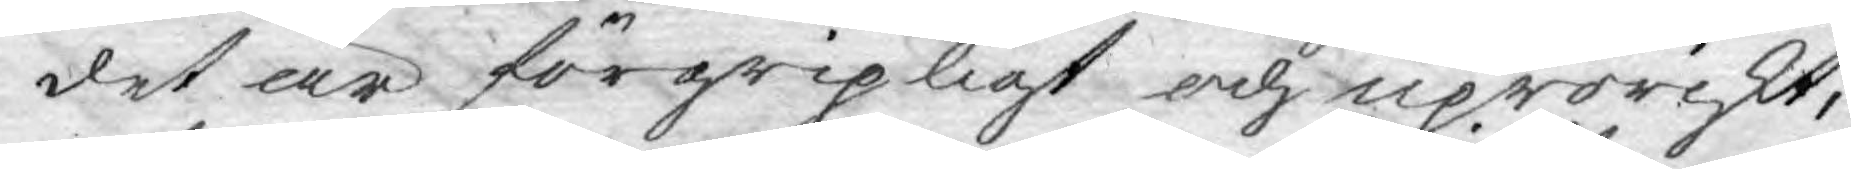det är förgripligt och uproriskt,
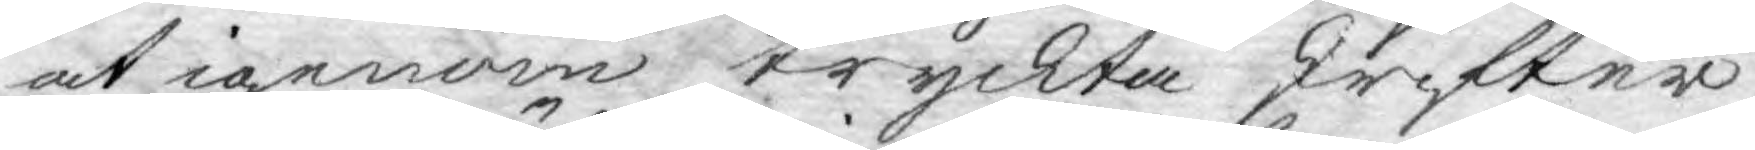at igenom tryckta skrifter
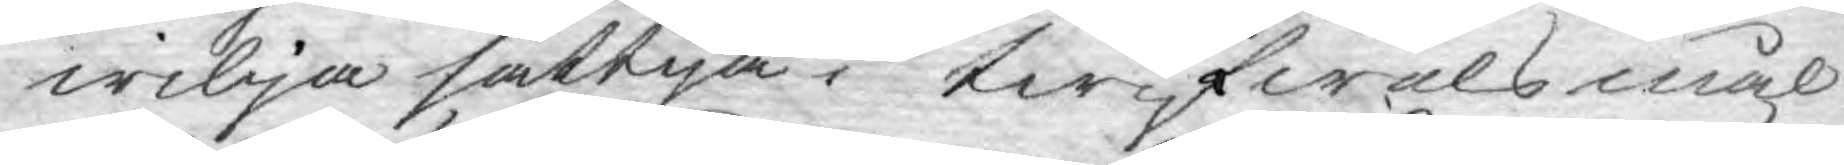wilja sättja, twifwelsmål
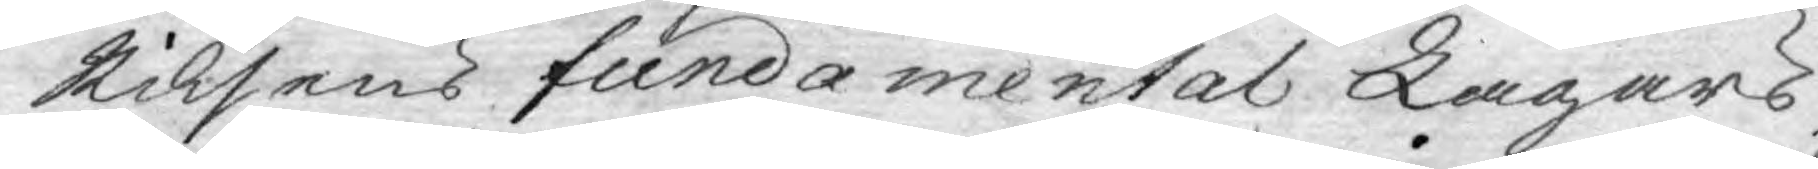Riksens fundamental Lagars,
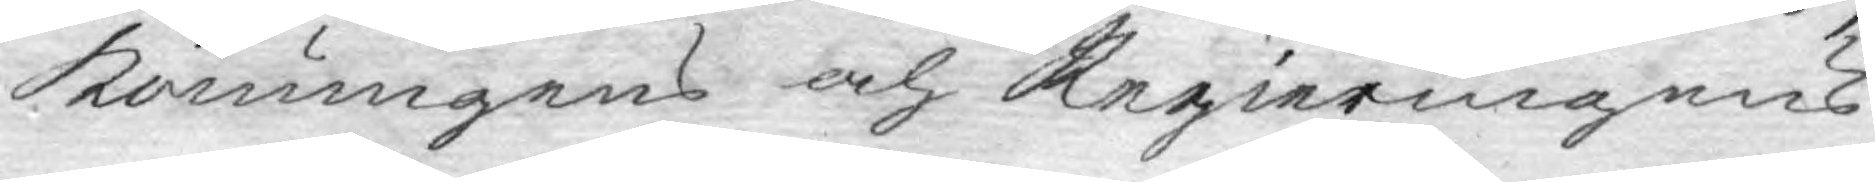Konungens och Regieringens
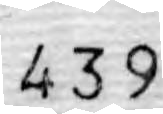439
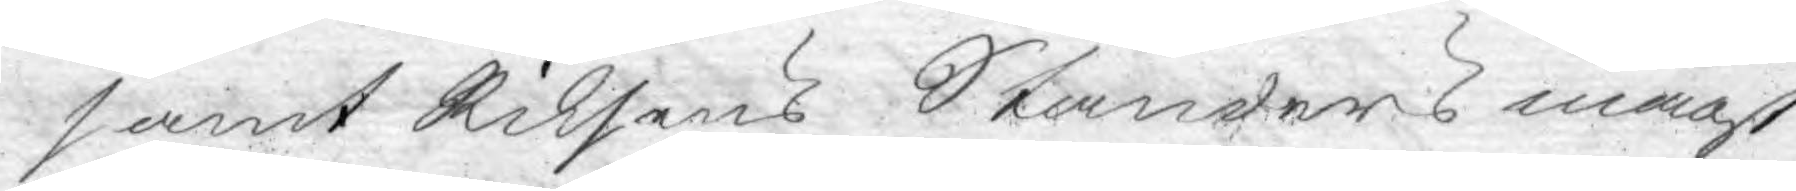samt Riksens Ständers magt
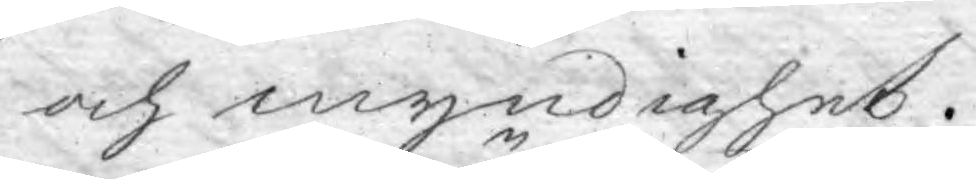och myndighet.
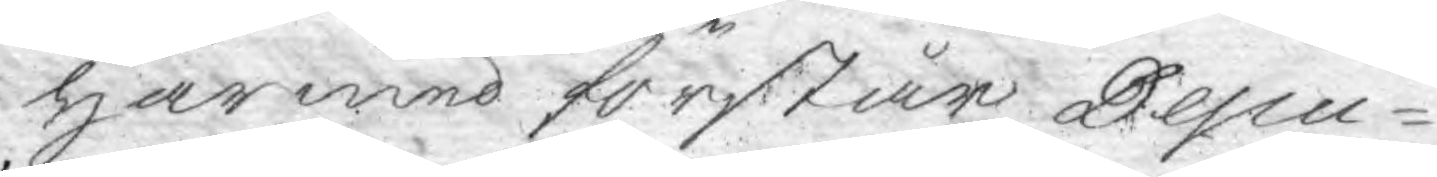Härmed förstår Depu¬
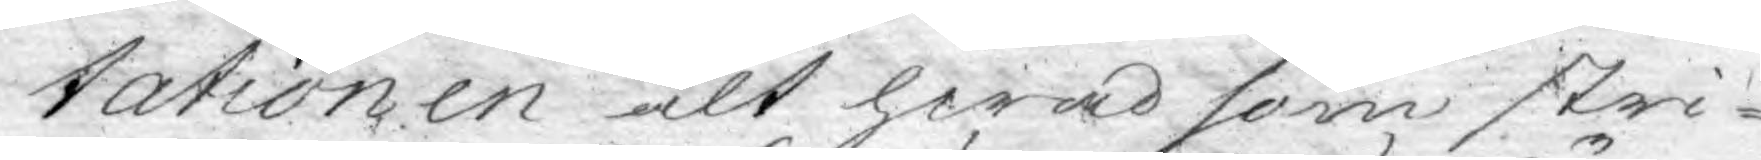tationen alt hwad som stri¬
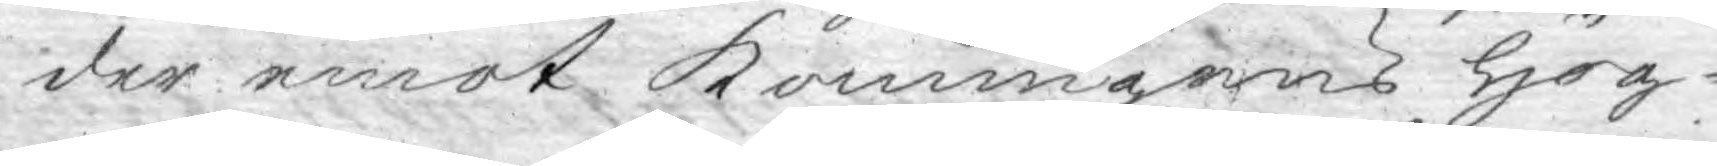der emot Konungens Hög¬
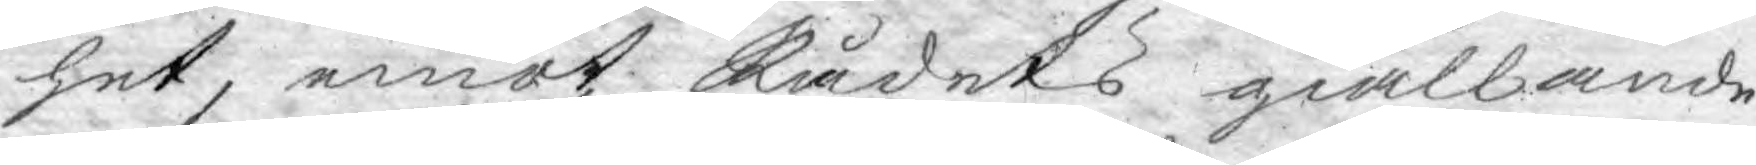het, emot Rådets giällande
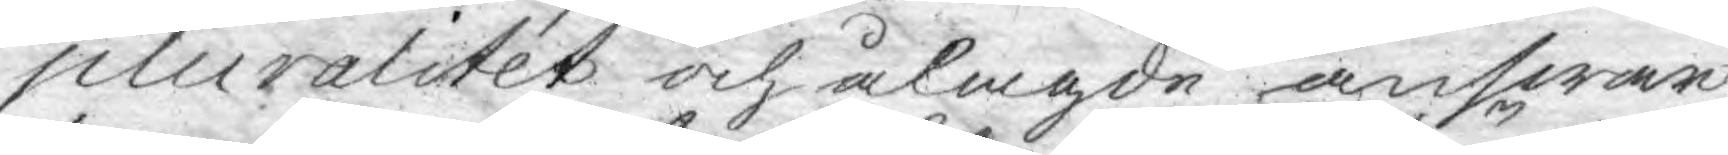pluralitet och ålagde answar,
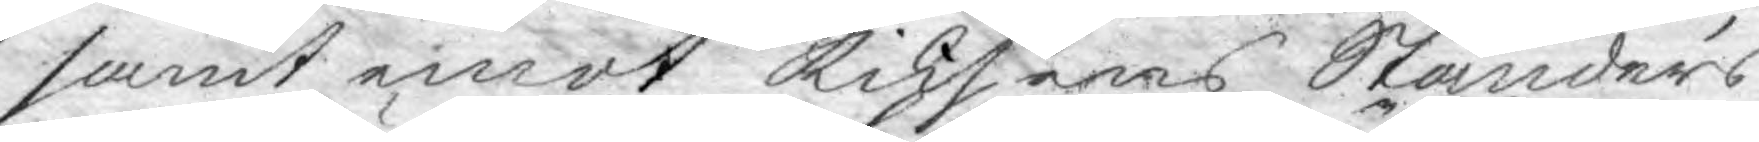samt emot Riksens Ständers
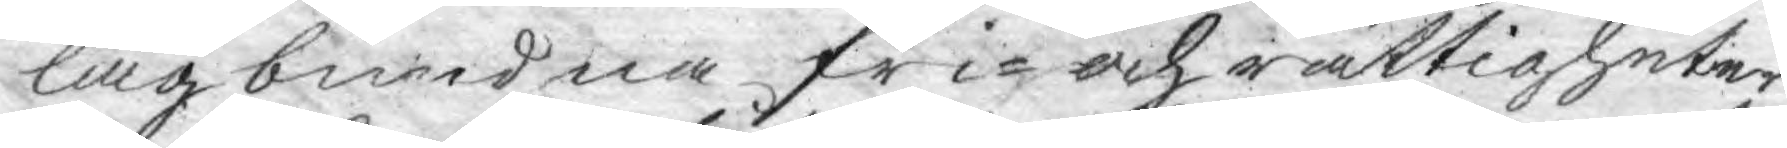lagbundna fri- och rättigheter
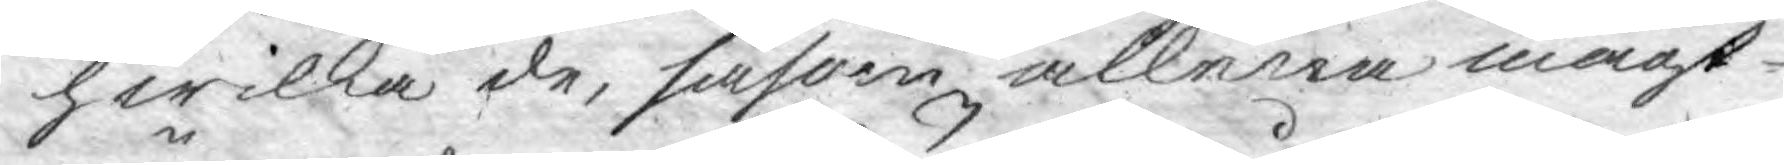hwilka de, såsom allena magt¬
